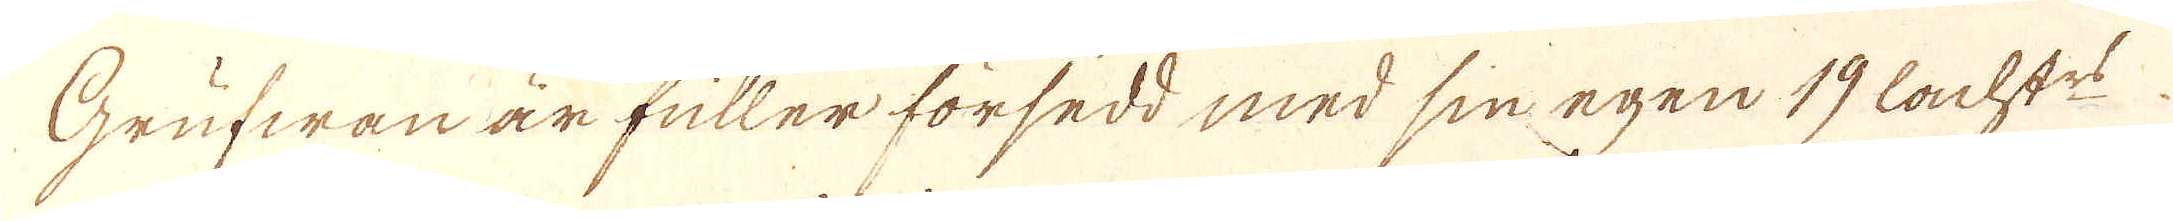Grufwan är fuller försedd med sin egen 19 lachstes
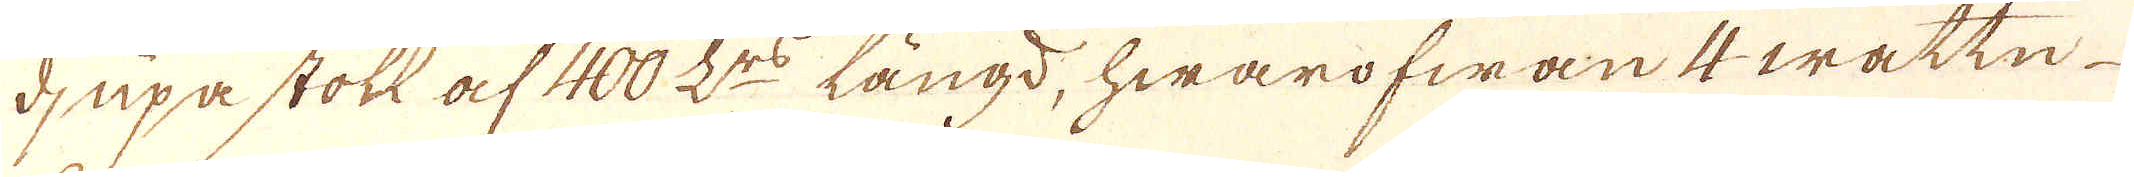djupa stoll af 400 L:rs längd, hwarofwan 4 wattn
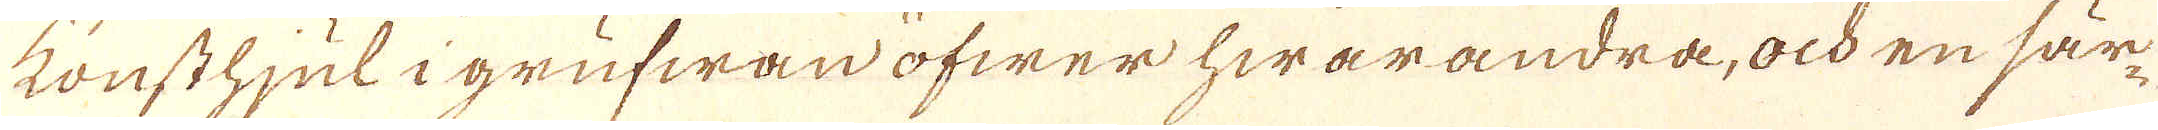konsthjul i grufwan öfwer hwarandra, och en sär-
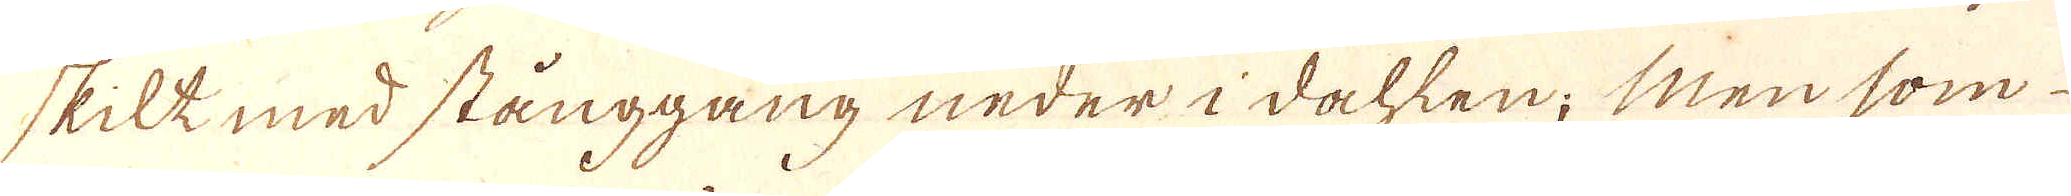skilk med stånggång neder i dahlen; Men som
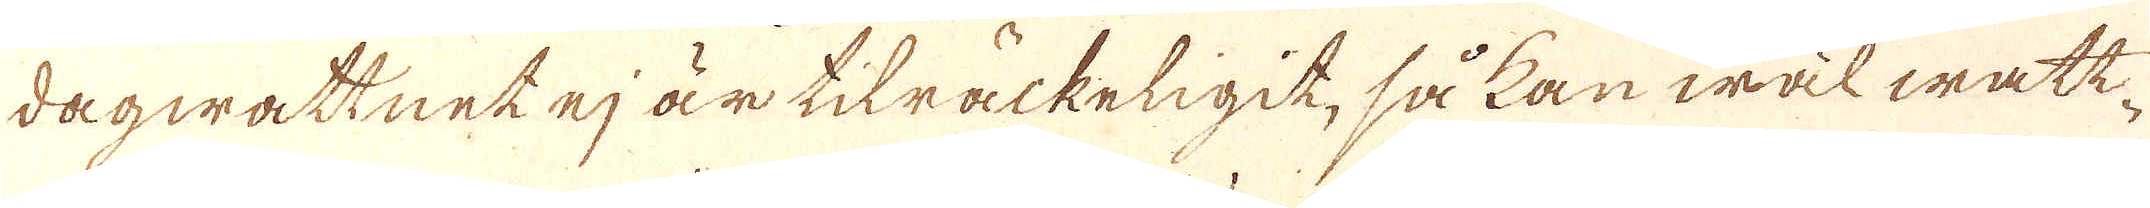dagwattnet ej är tilräckeligit, så kan wäl watt-
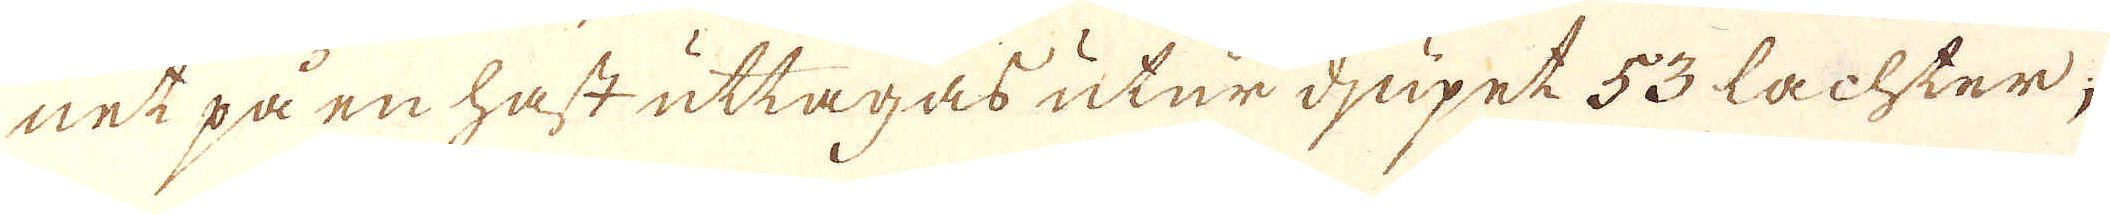net på en hast uttagas utur djupet 53 Lachter;
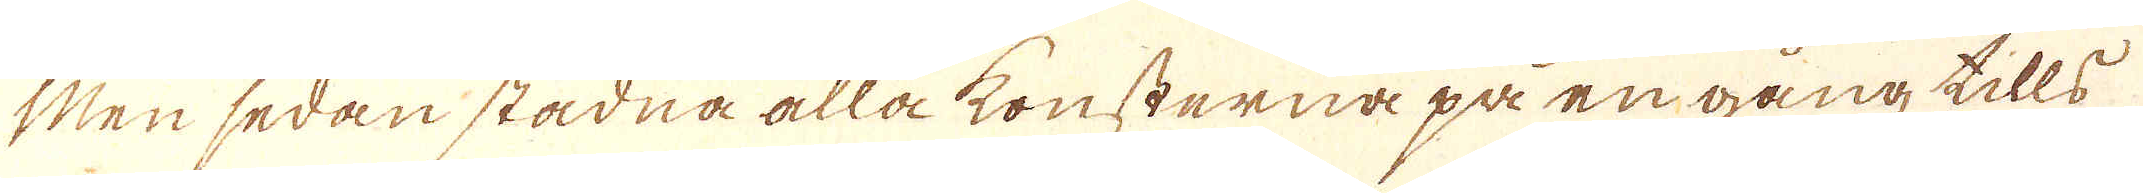Men sedan stadna alla konsterna på en gång tills
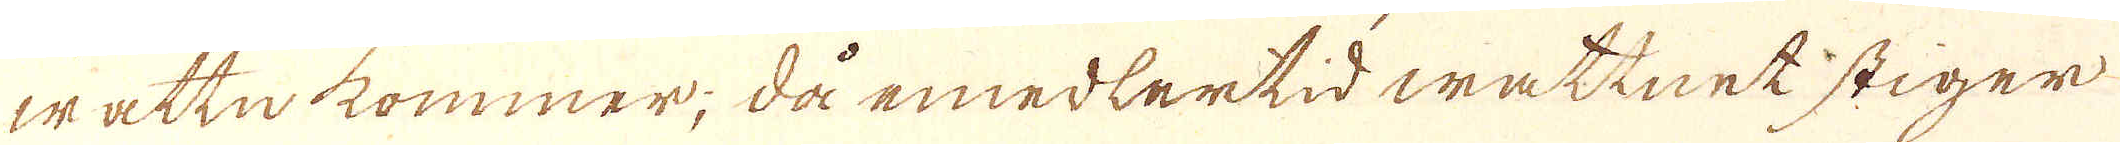wattn kommer; då emedlertid wattnet stiger
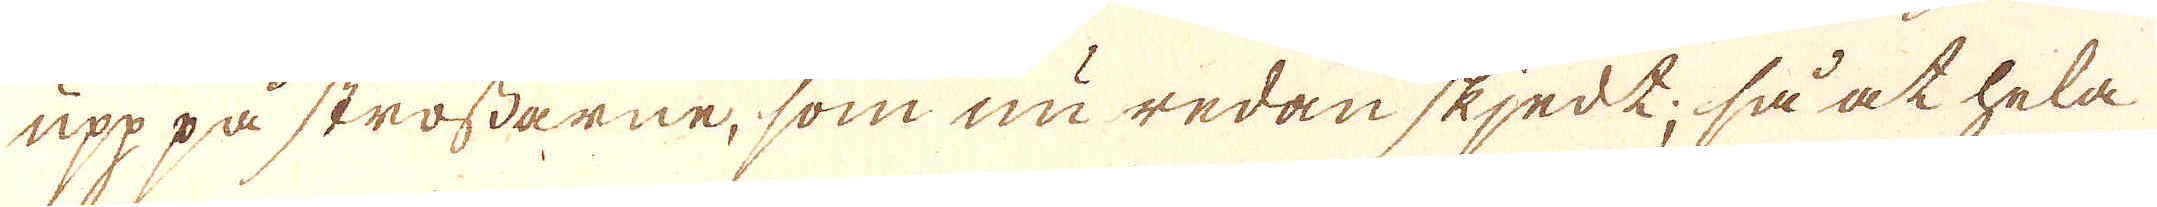upp på strossarne, som nu redan skjedk; så at hela
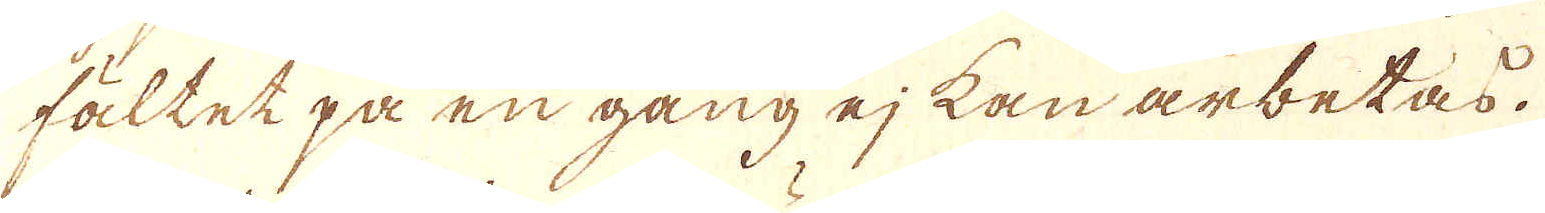fältet på en gång ej kan arbetas.
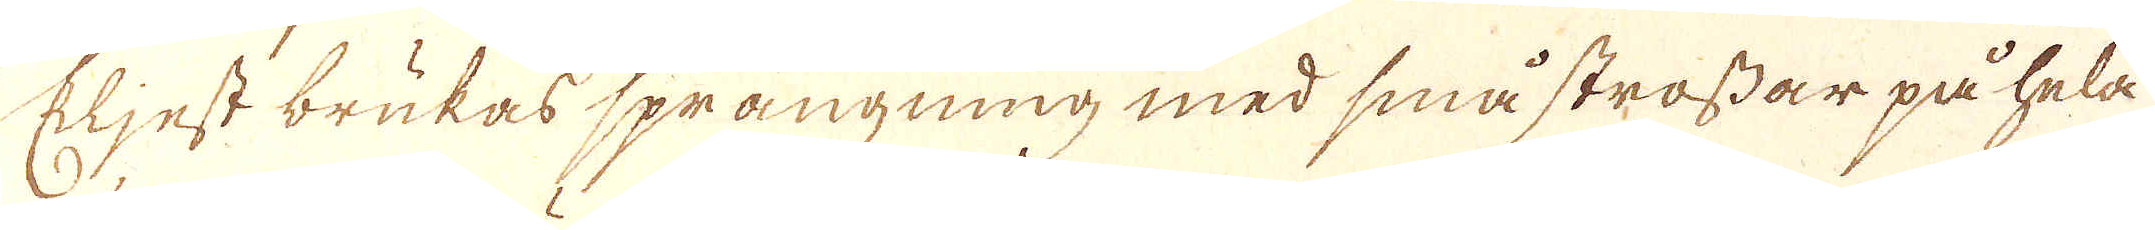Eljest brukas sprängning med små strossar på hela
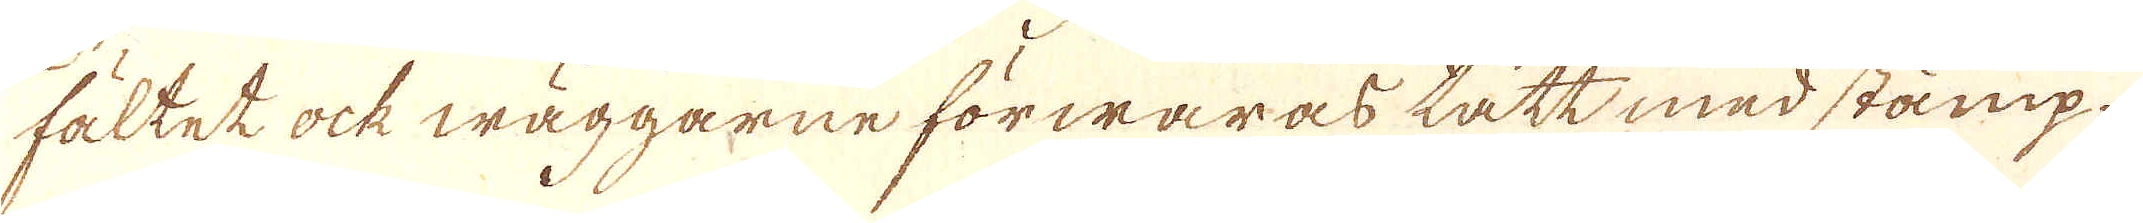fältet ock wäggarne förwaras tätt med stämp-
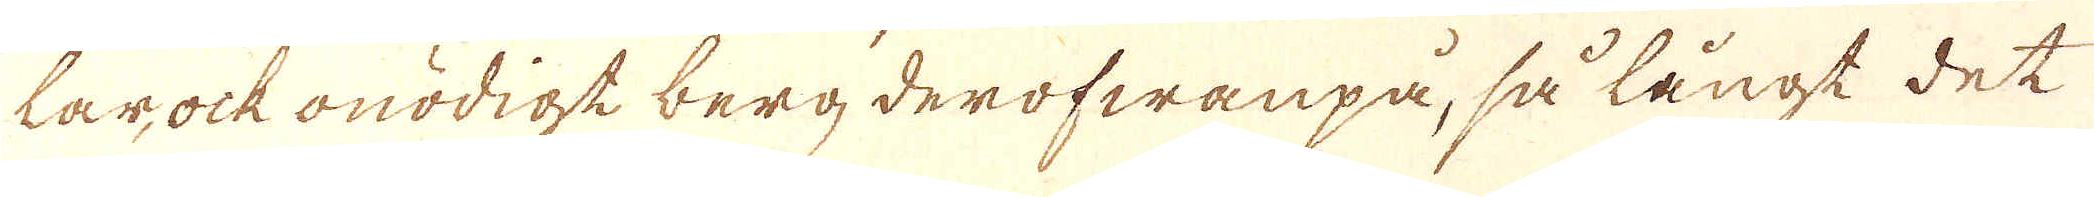tar ock onödigt berg derofwanpå, så långt det
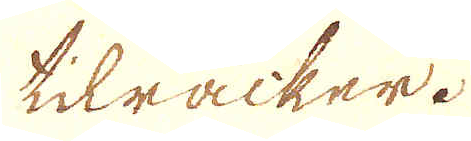tilräcker.
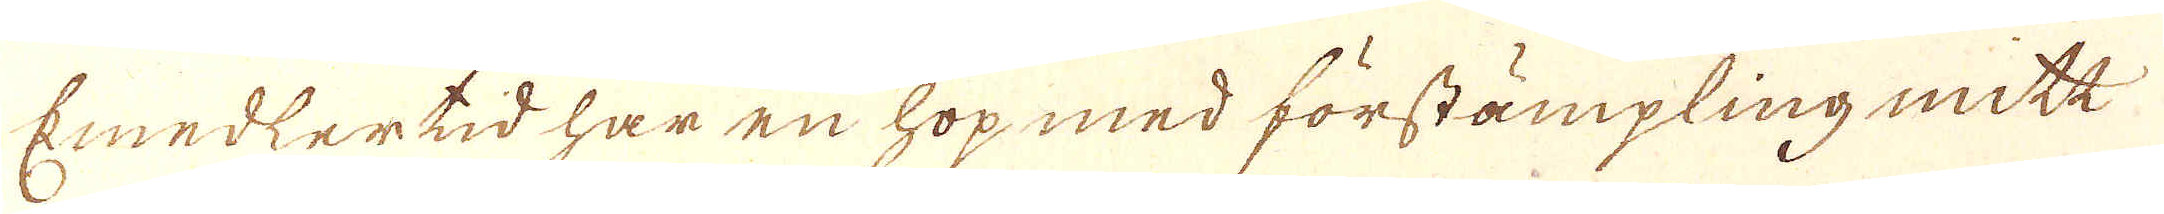Emedlertid har en hop med förstämpling mitt
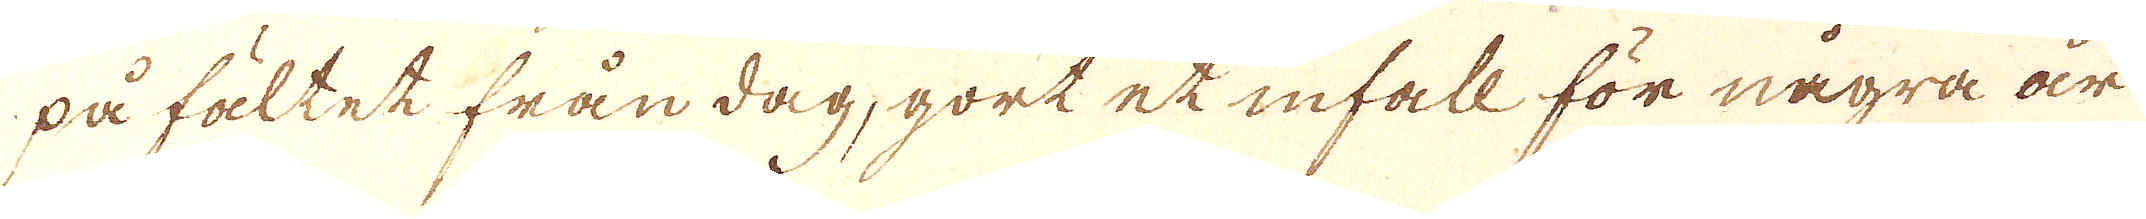på fältet från dag, gort et infall för några är
